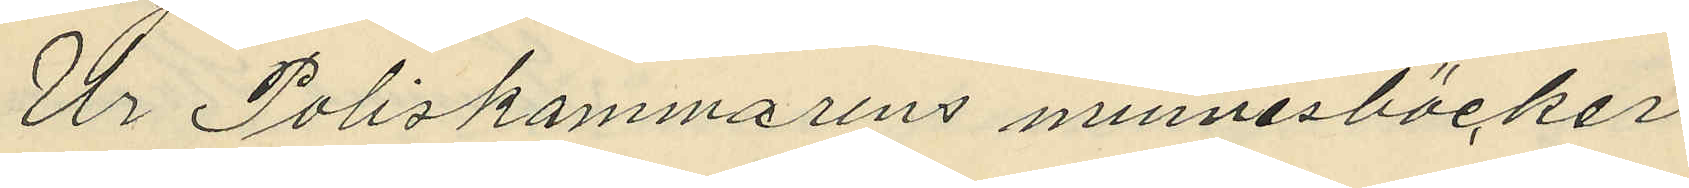Ur Poliskammarens minnesböcker
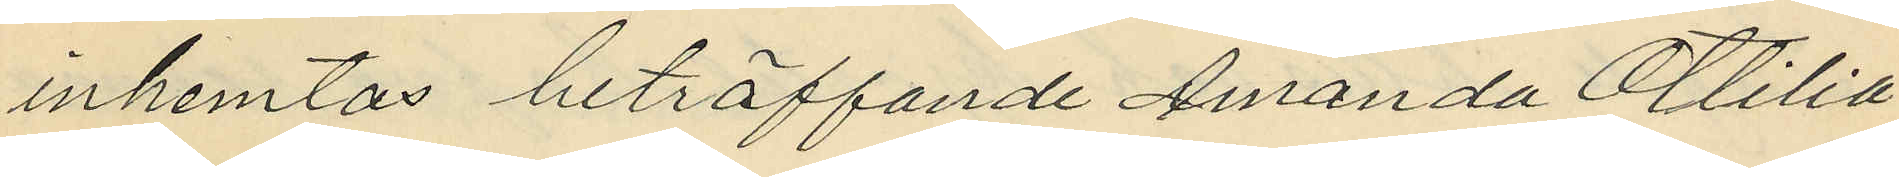inhemtas beträffande Amanda Ottilia
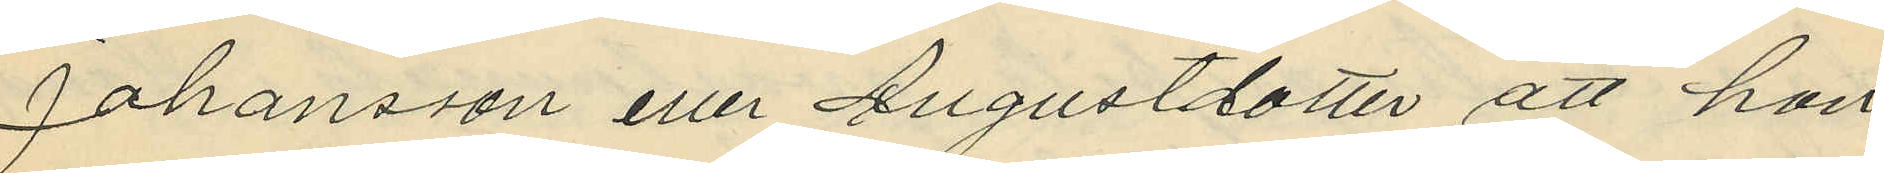Johansson eller Augustdotter, att hon
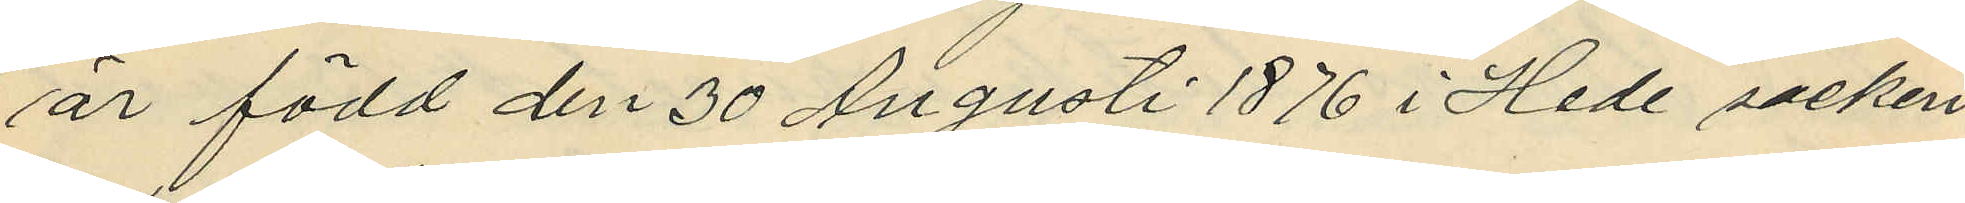är född den 30 Augusti 1876 i Hede socken
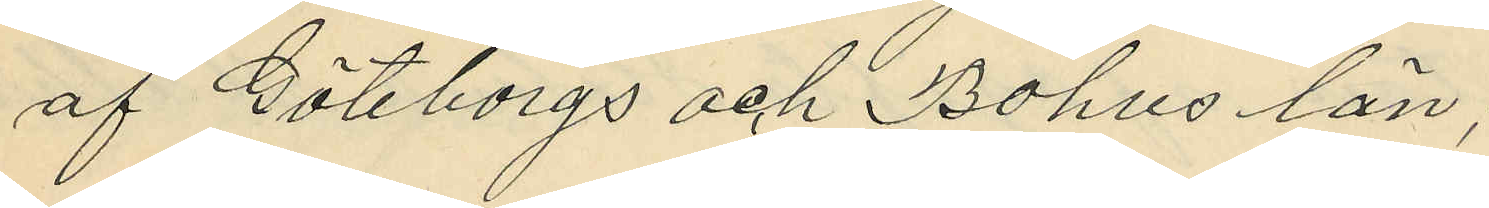af Göteborgs och Bohus län;
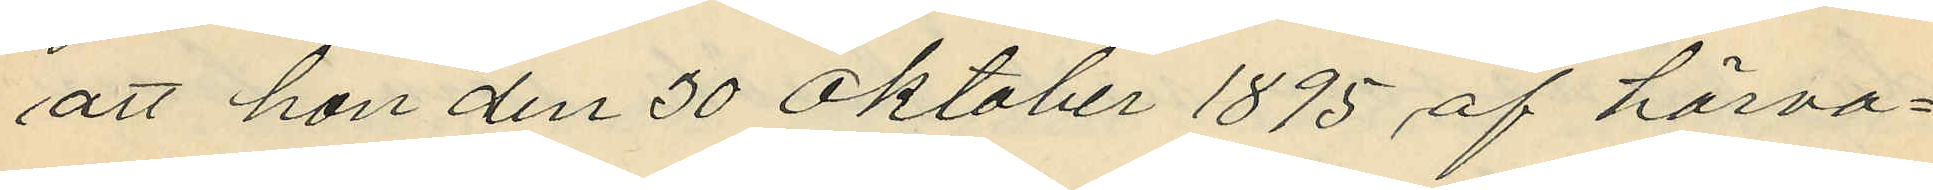att hon den 30 Oktober 1895 af härva¬
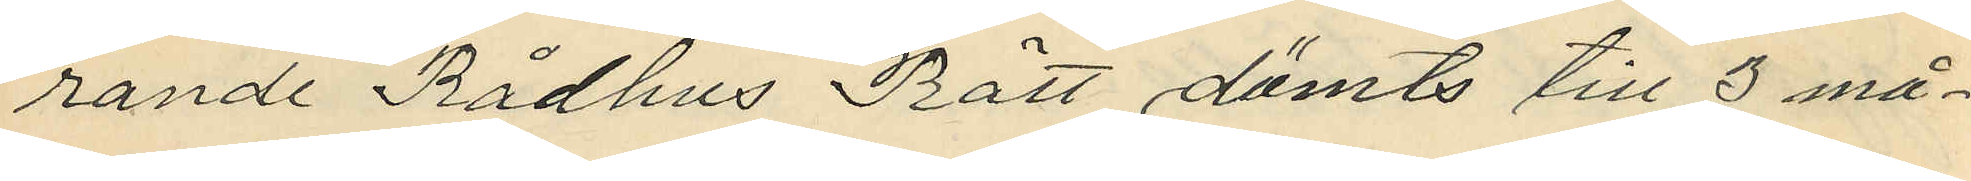rande Rådhus Rätt dömts till 3 må¬
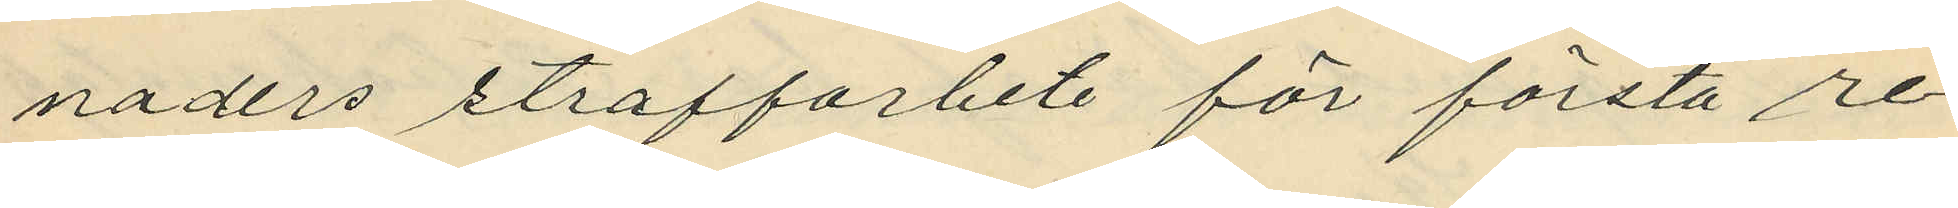naders straffarbete för första re¬
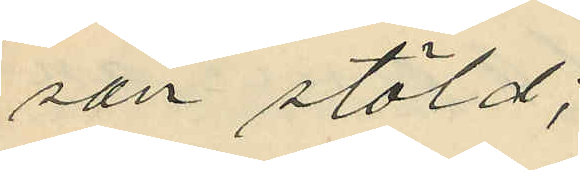san stöld;
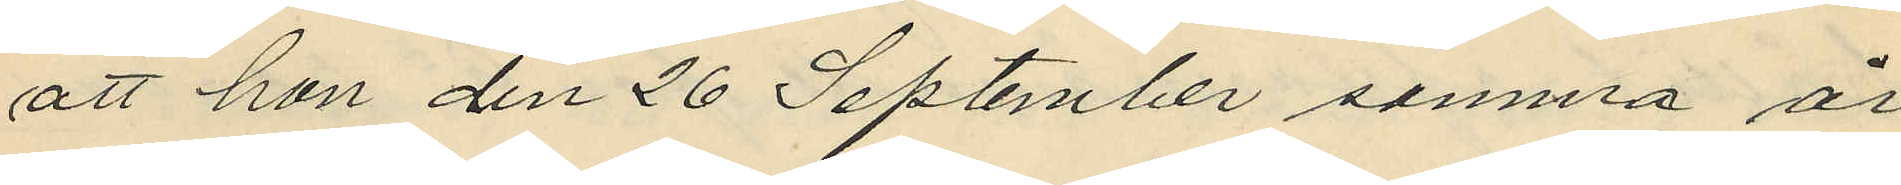att hon den 26 September samma år
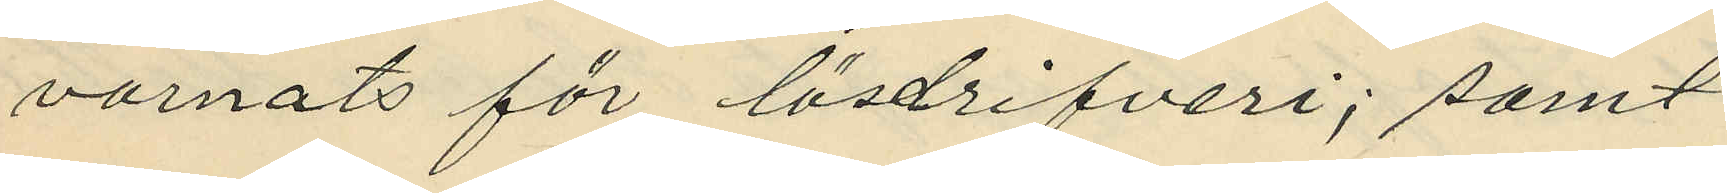varnats för lösdrifveri; samt
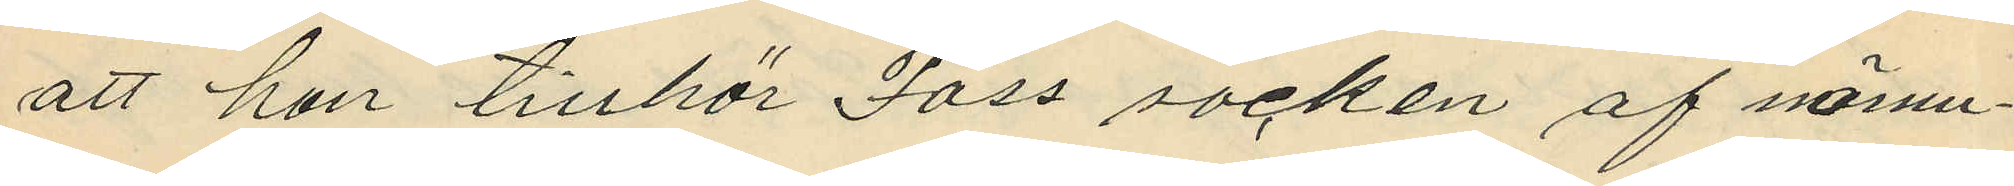att hon tillhör Foss socken af nämn¬
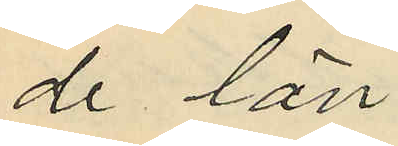de län.
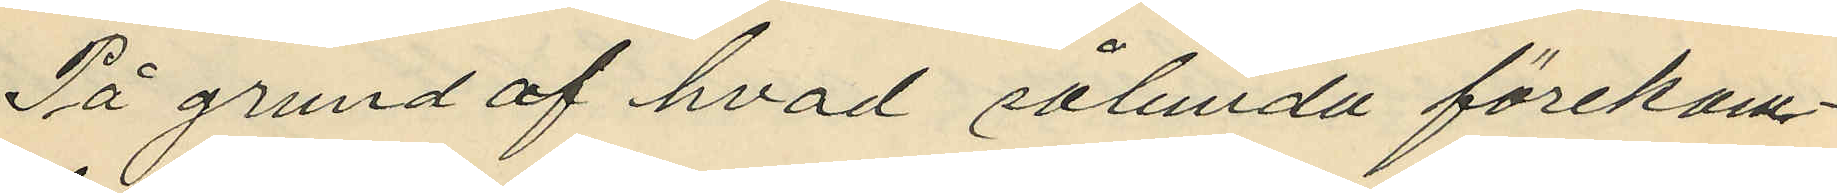På grund av hvad sålunda förekom¬
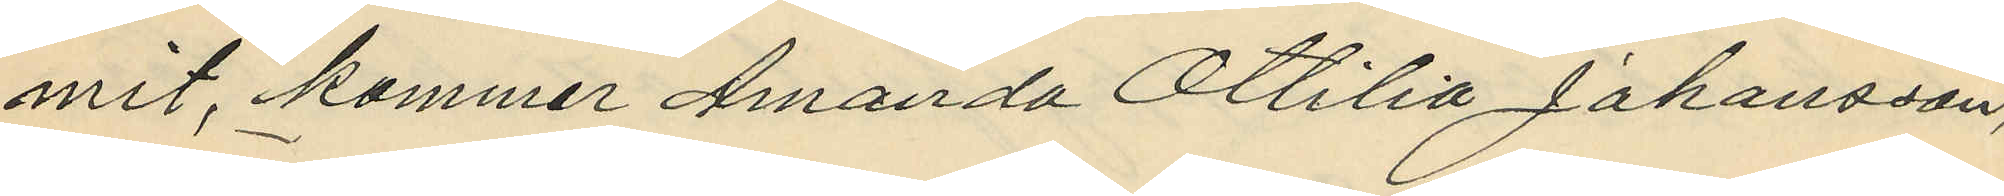mit, kommer Amanda Ottilia Johansson,
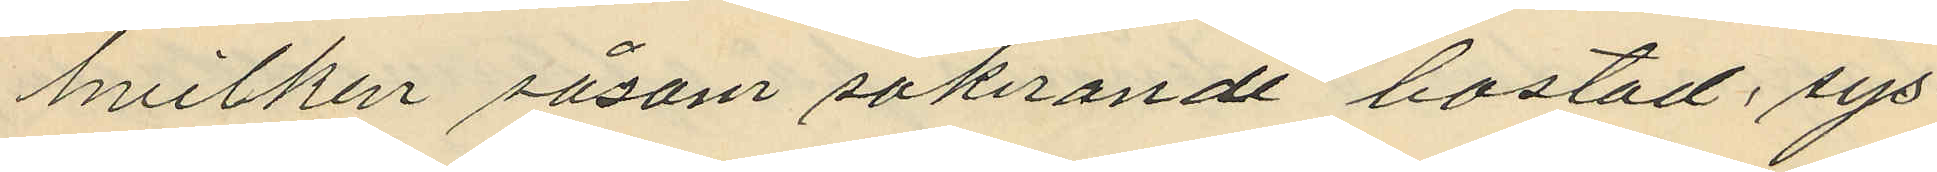hvilken såsom saknande bostad, sys¬
